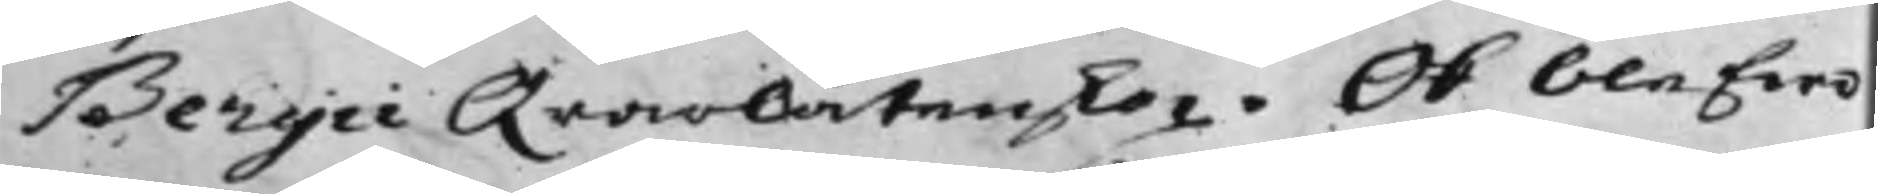Bergii Qvarlåtenskap. Och blefwo
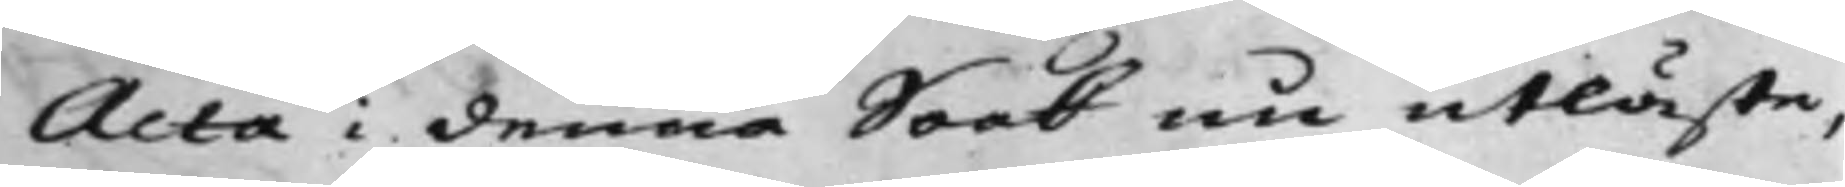Acta i denna Saak nu utläste,
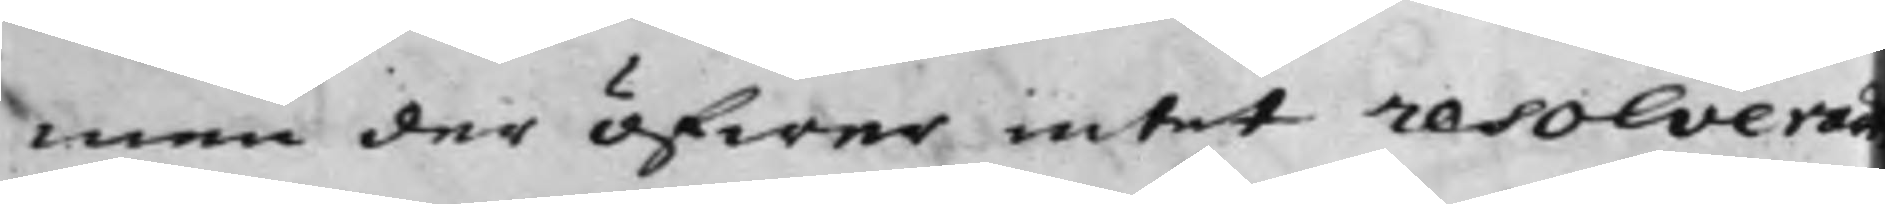men der öfwer intet resolverad
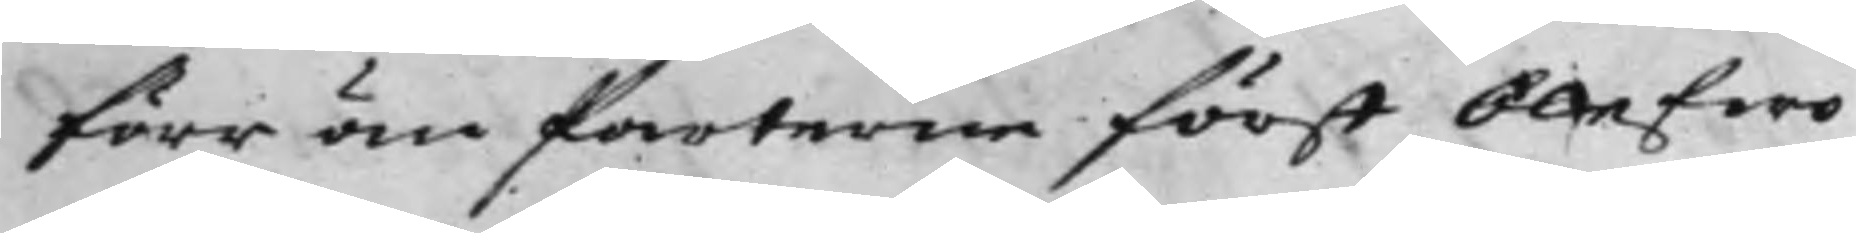förr än Parterne först blefwo
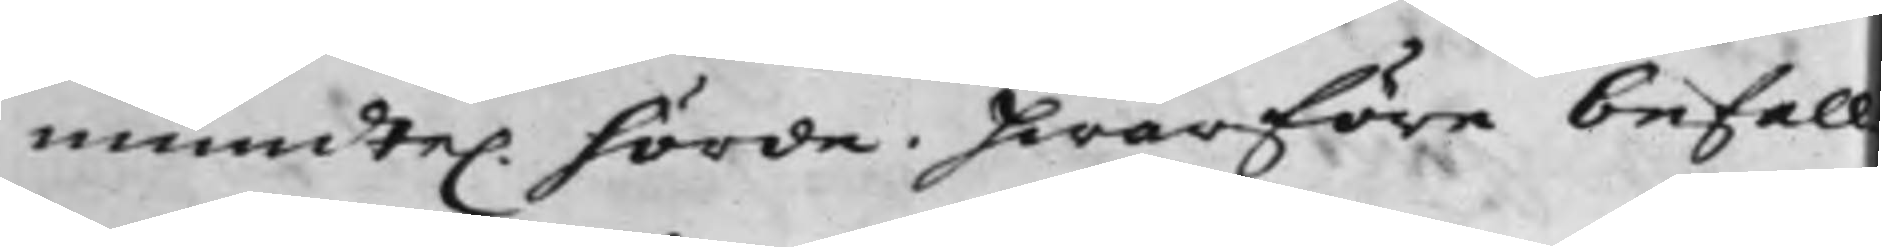munte. hörde. Hwarföre befall¬
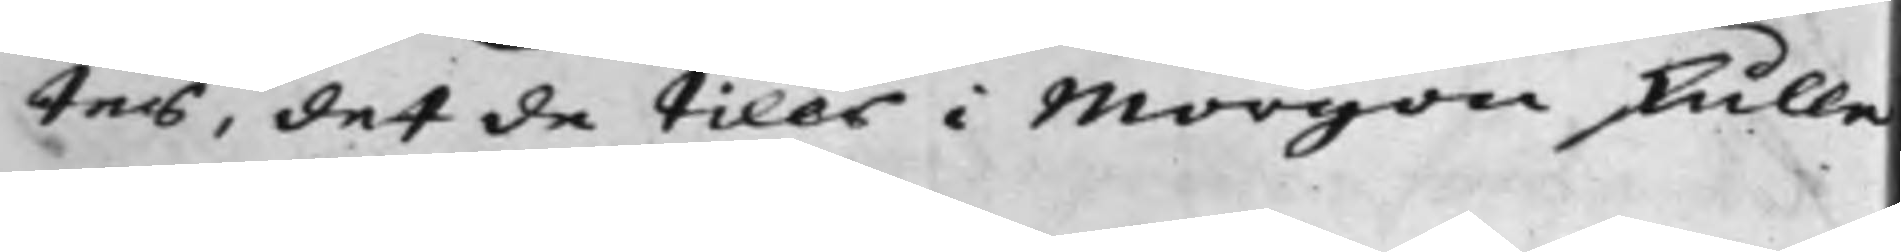tes, det de tills i Morgon skulle
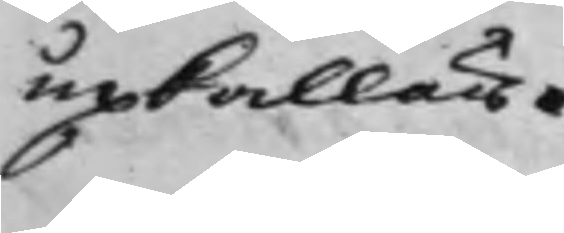upkallas.
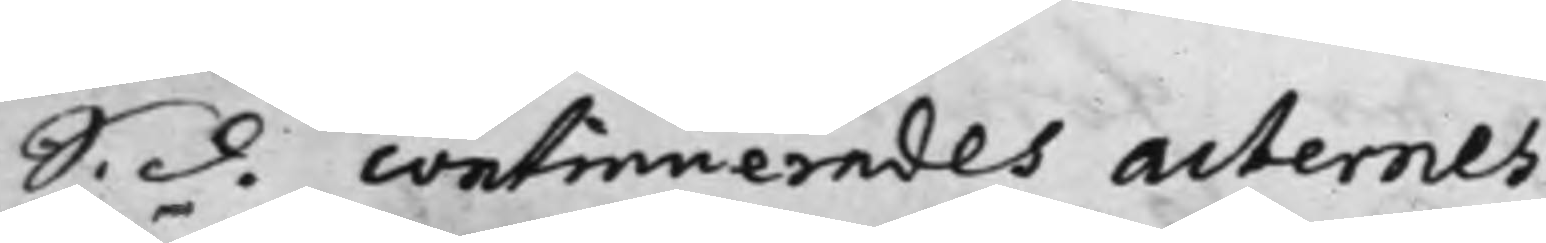S. d. continuerades Acternes
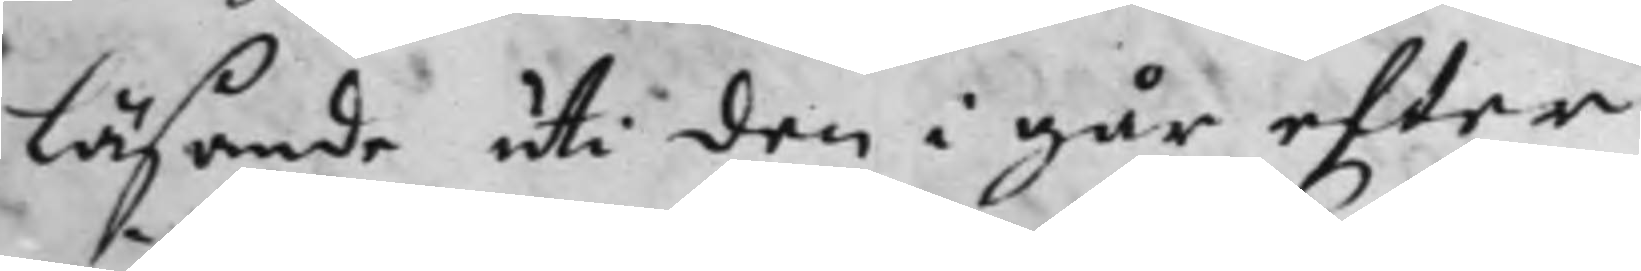läsande uti den i går efter
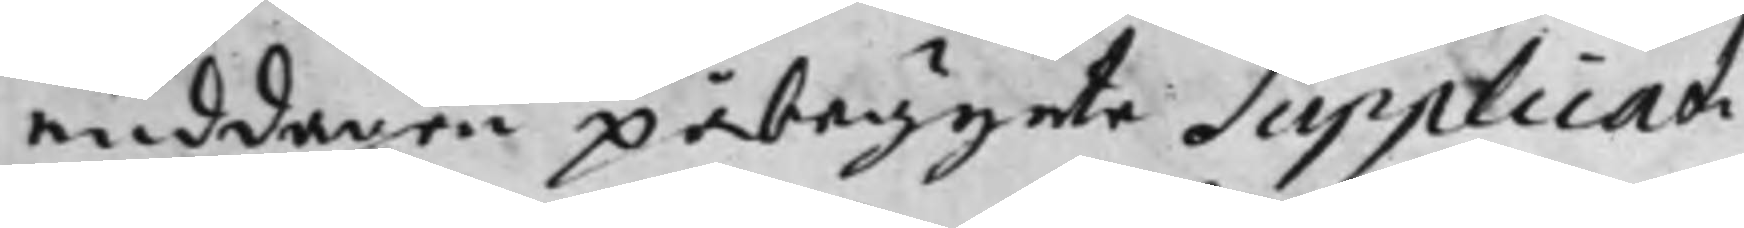middagen påbegynte Supplicati¬
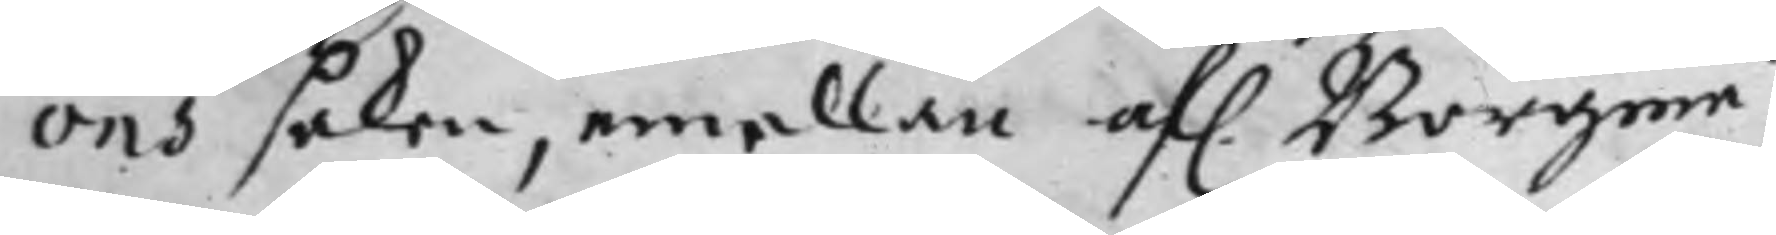ons saken, emellan af. Borgmä¬
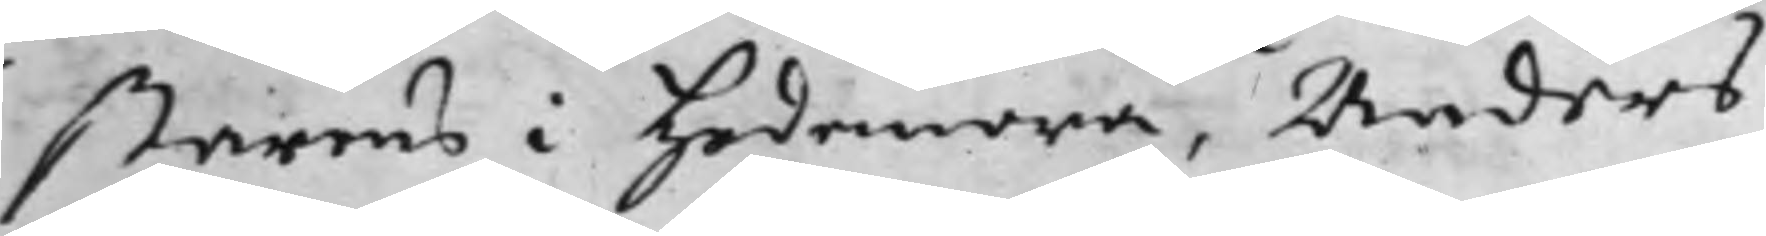starens i Hedemora, Anders
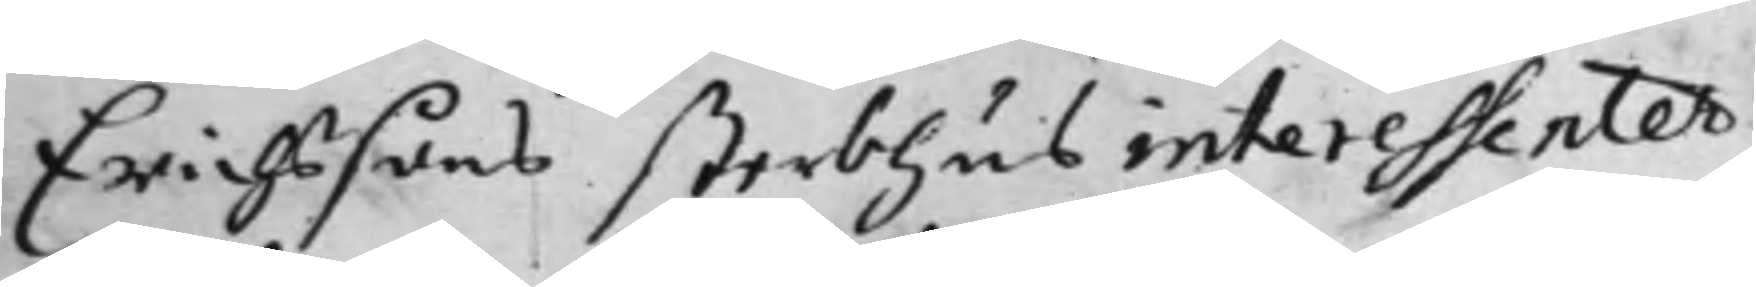Erichssons sterbhus interessenter,
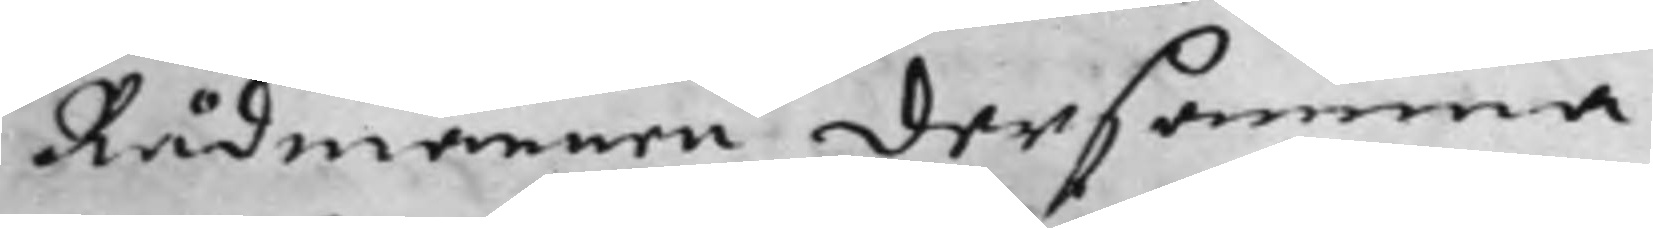Rådmännen dersamma¬
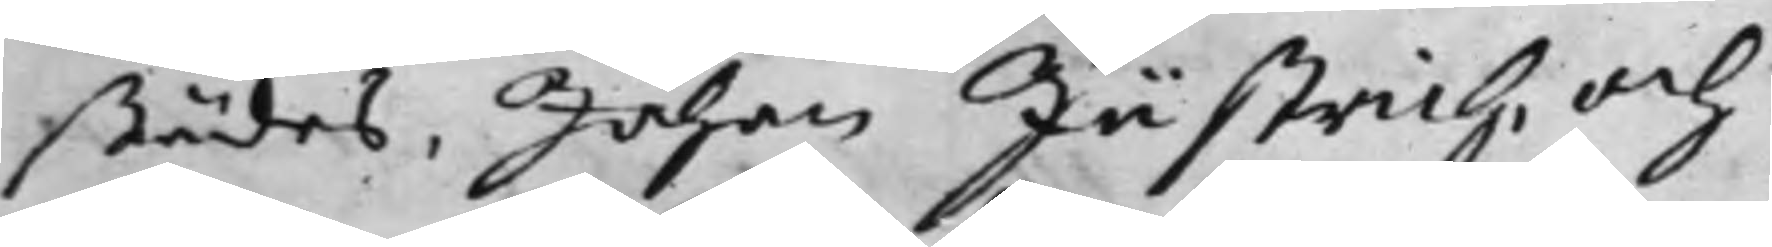städes, Johan Jästrich, och
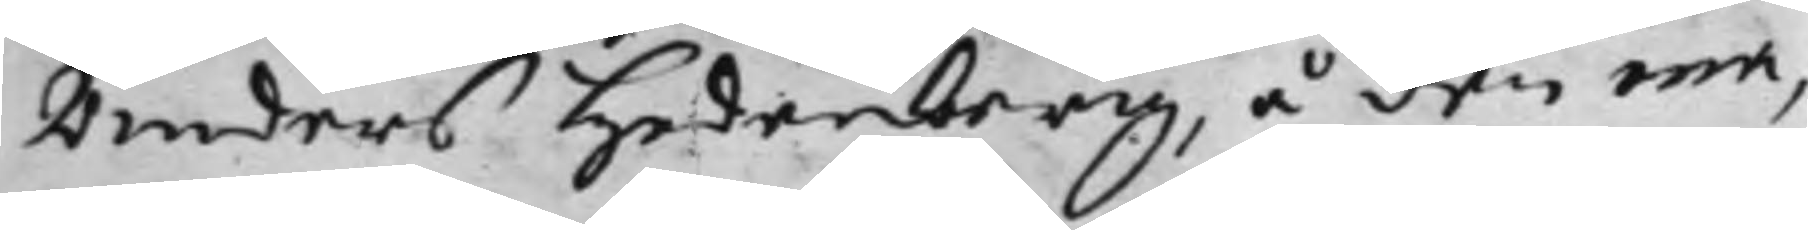Anders Hedenberg, å den ena,
